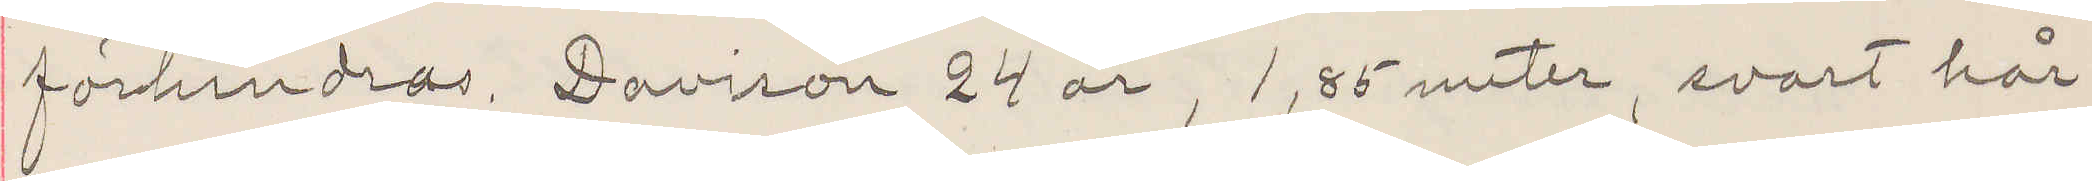förhindras. Davison 24 år, 1,85 meter, svart hår,
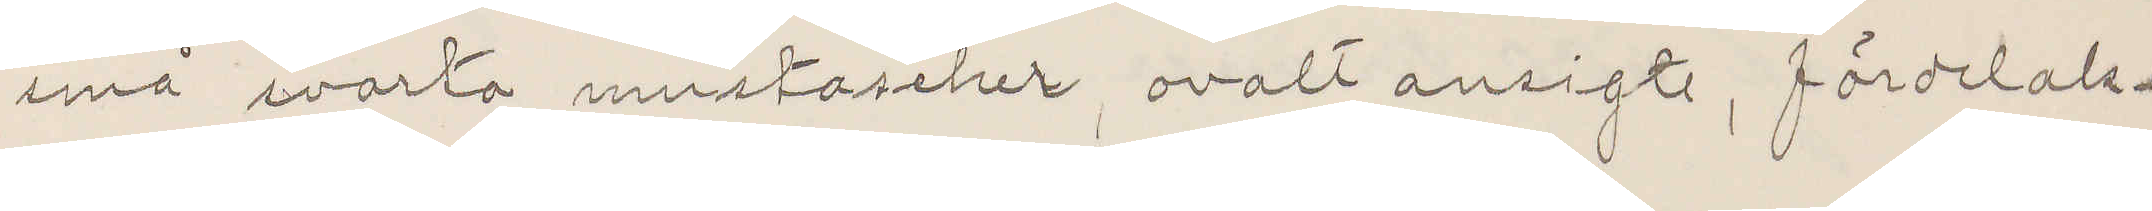små svarta mustascher, ovalt ansigte, fördelak¬
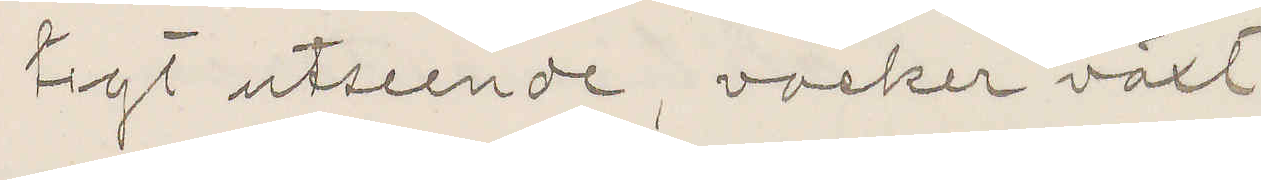tigt utseende, vacker växt.
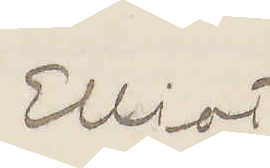Elliot
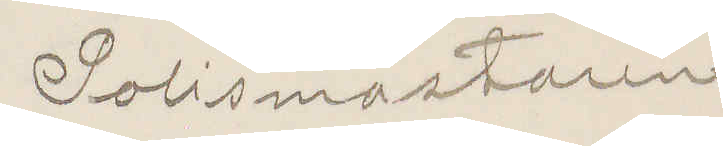Polismästaren
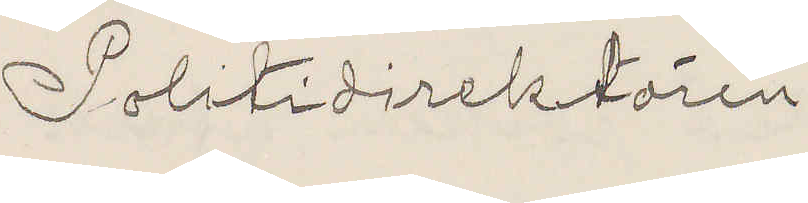Politidirektören
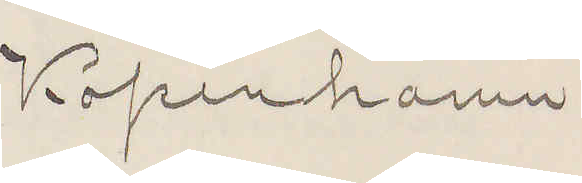Köpenhamn
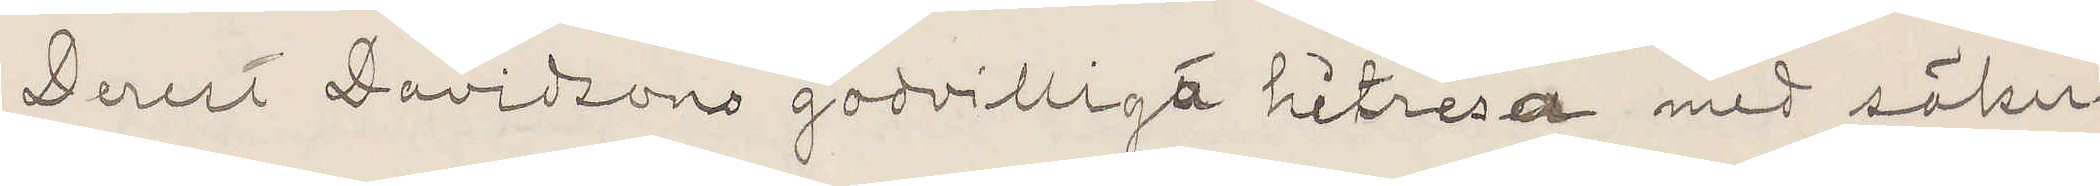Derest Davidsons godvilliga hitresa med säker¬
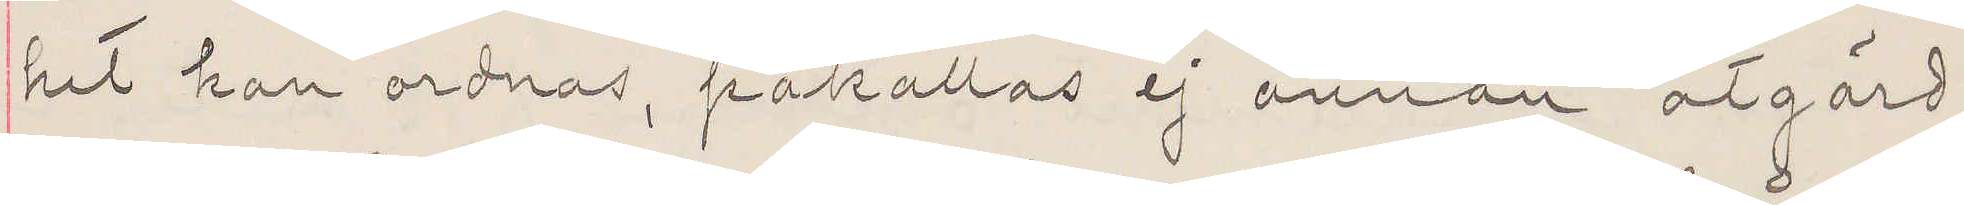het kan ordnas, påkallas ej annan åtgärd.
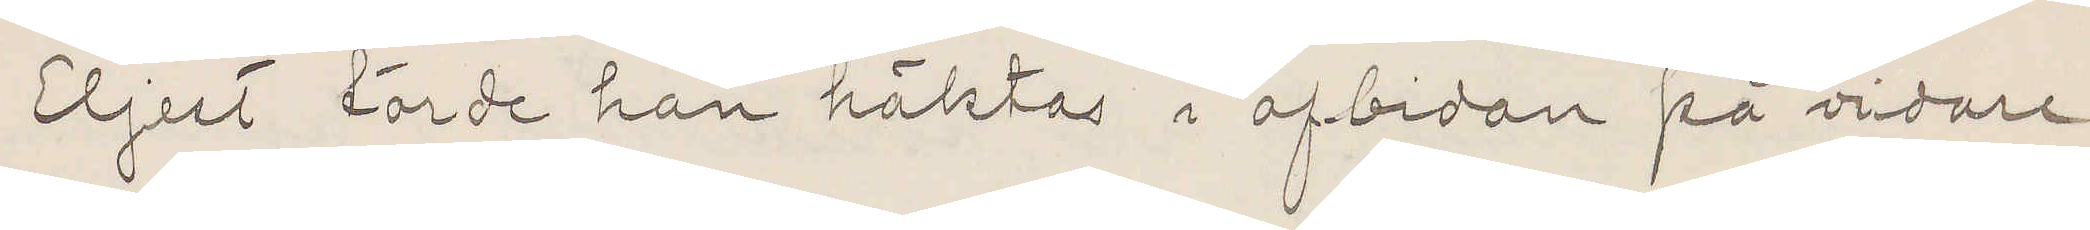Eljest torde han häktas i afbidan på vidare
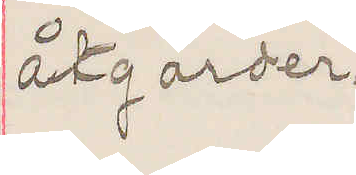åtgärder.
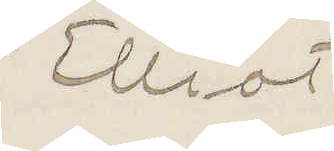Elliot
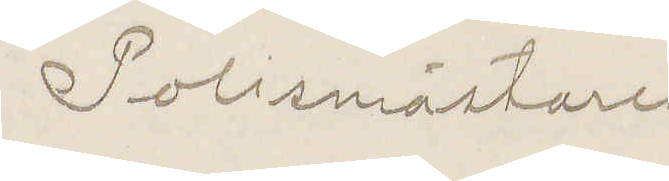Polismästare
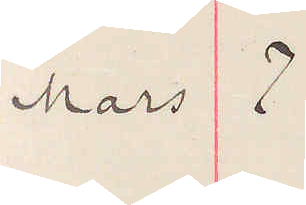Mars 7
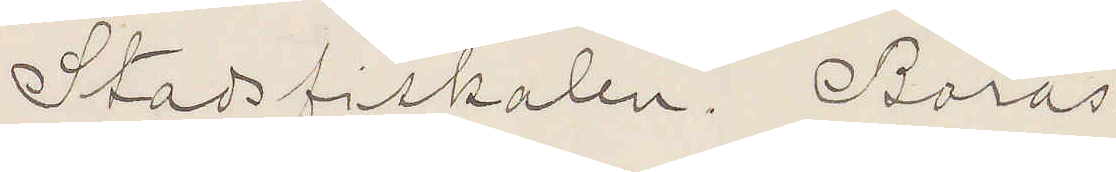Stadsfiskalen. Borås.
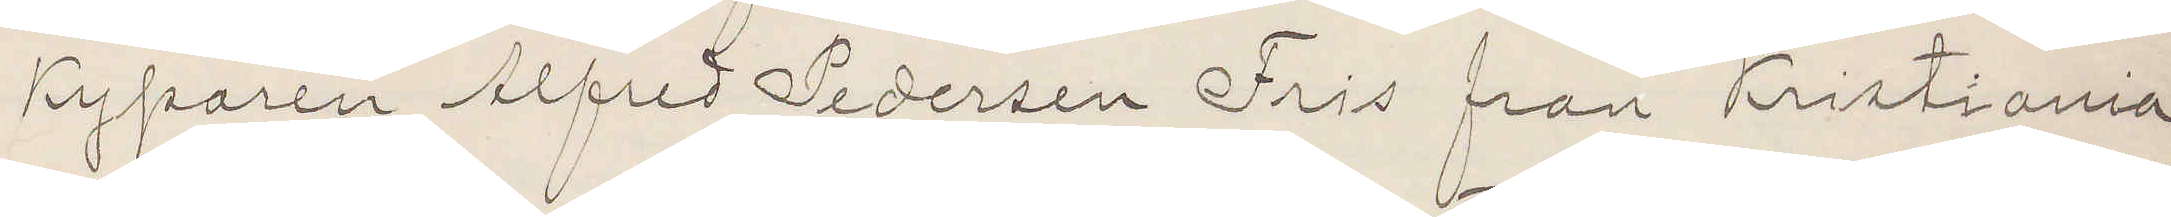Kyparen Alfred Pedersen Fris från Kristiania
